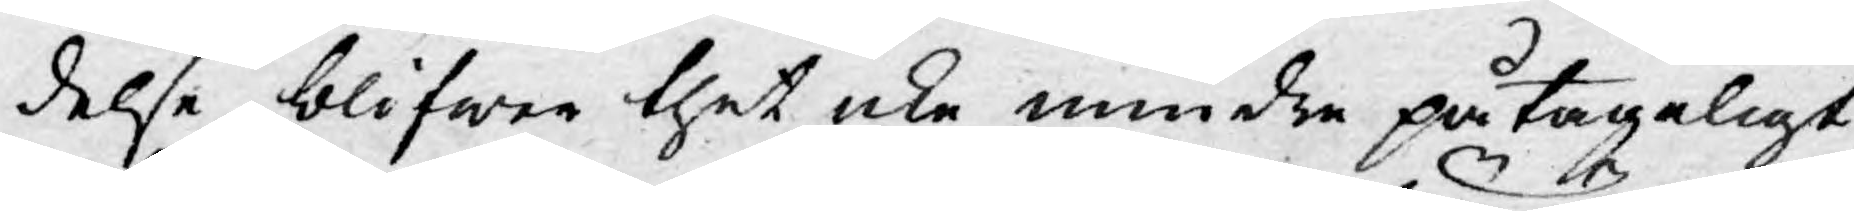delse, blifwer thet icke mindre påtageligt,
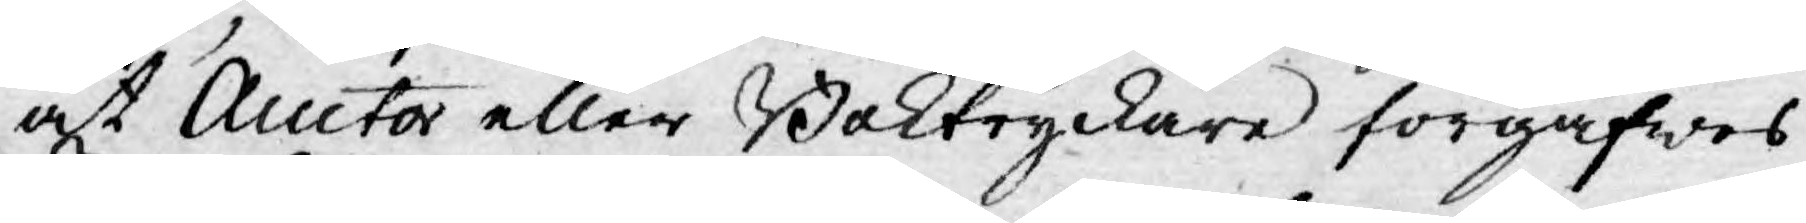at Auctor eller Boktryckare förgäfwes
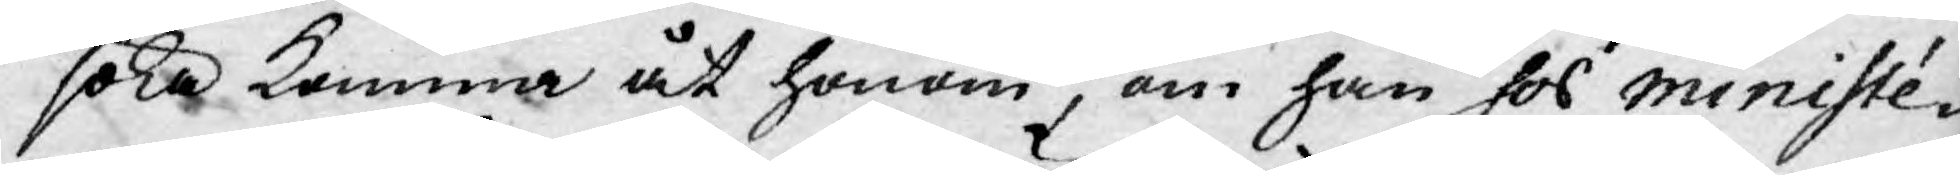söka komma åt honom, om han hos ministé¬
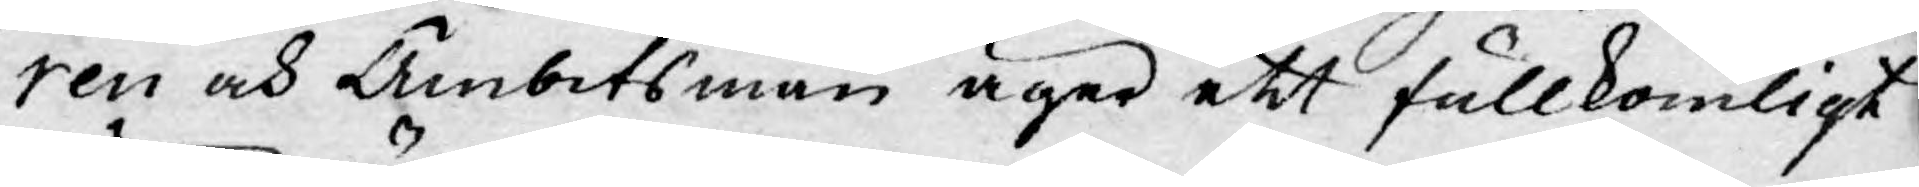ren och Ämbetsmän äger ett fullkomligt
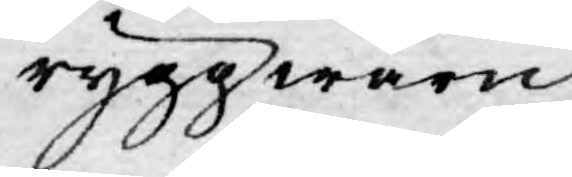ryggwärn.
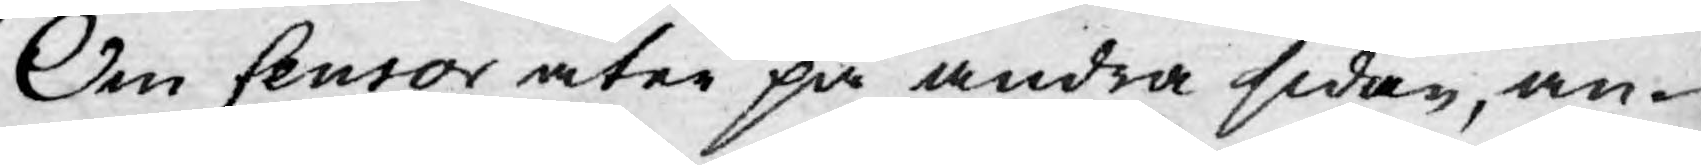Om Censor åter på andra sidan, an-
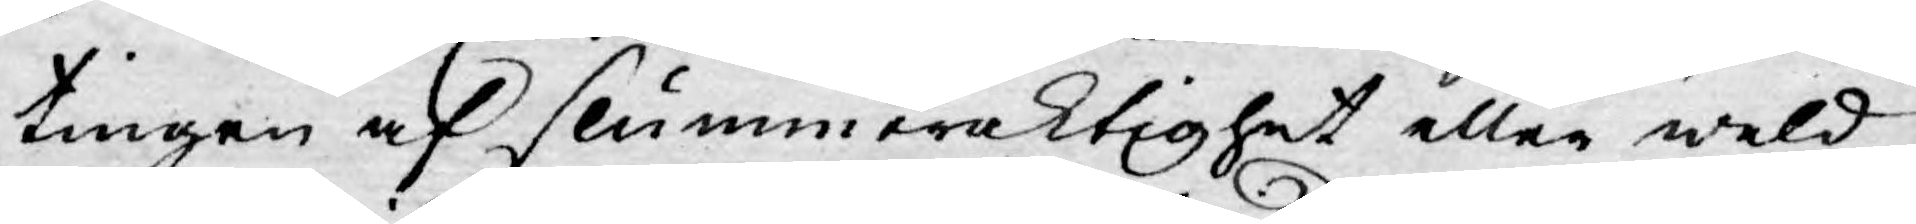tingen af slummeraktighet eller weld,
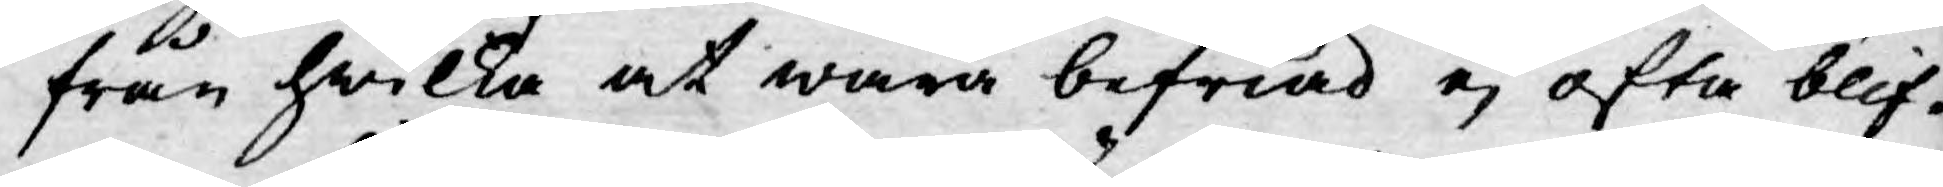från hwilka at wara befriad ej ofta blif¬
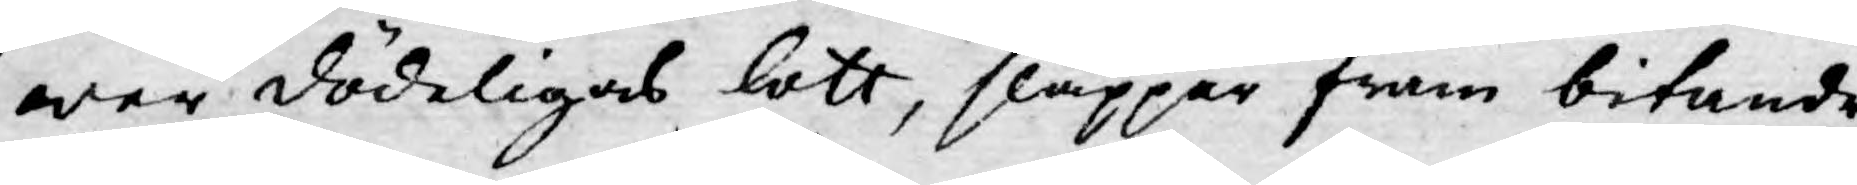wer dödeligas lott, släpper fram bitande
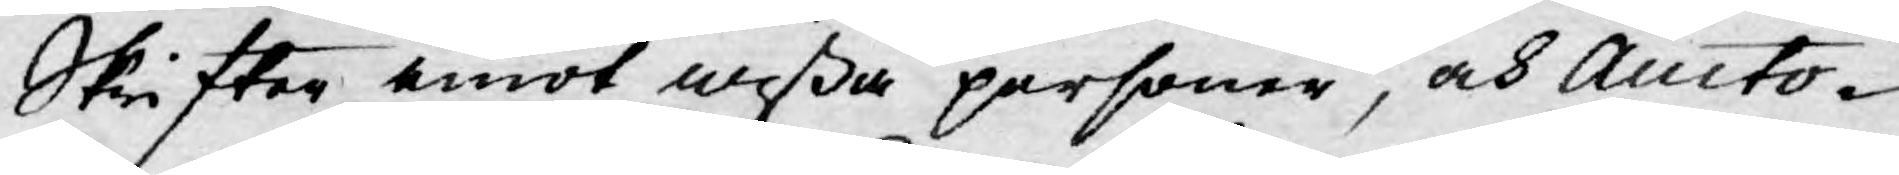Skrifter emot wißa personer, och Aucto¬
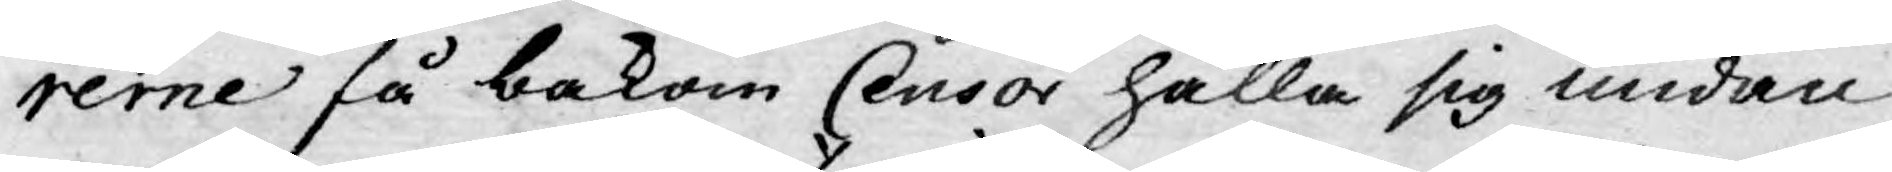rerne få bakom Censor hålla sig undan
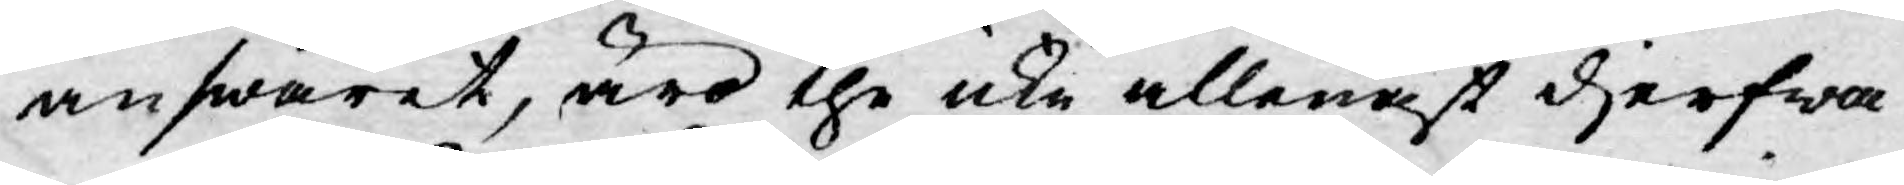answaret, äro the icke allenast djerfwa¬
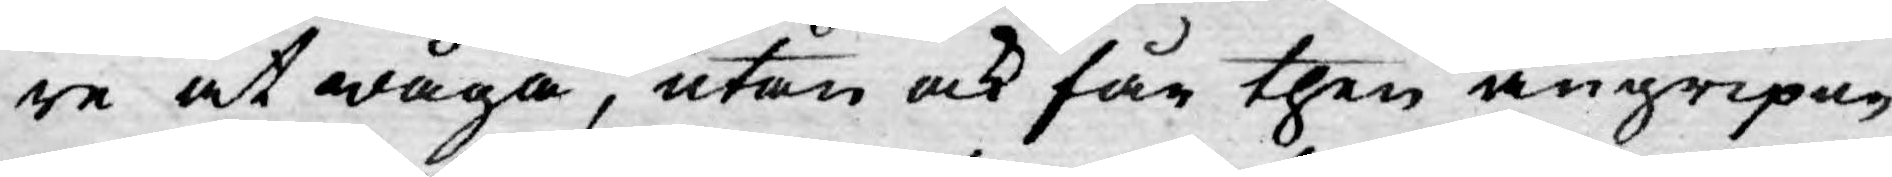re at wåga, utan ock får then angripne
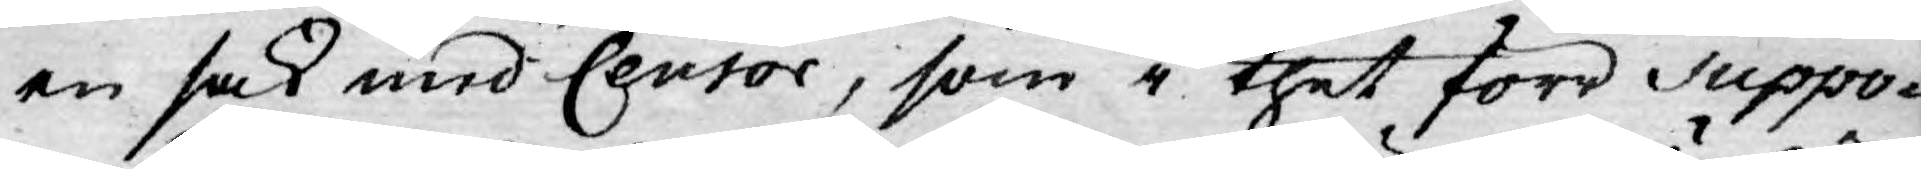en sak med Censor, som i thet förr Suppo-
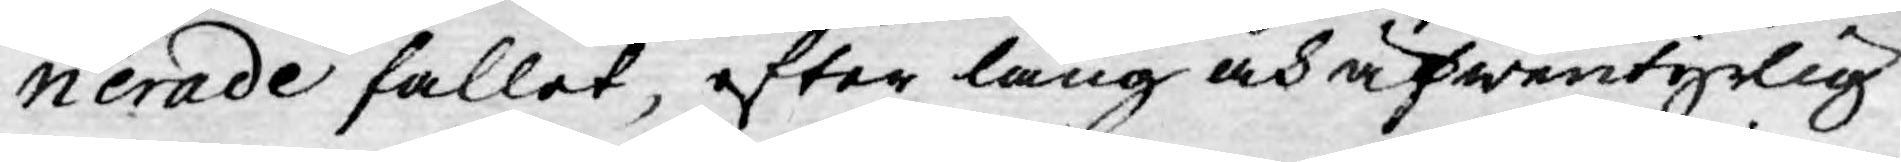nerade fallet, efter lång och äfwentyrlig
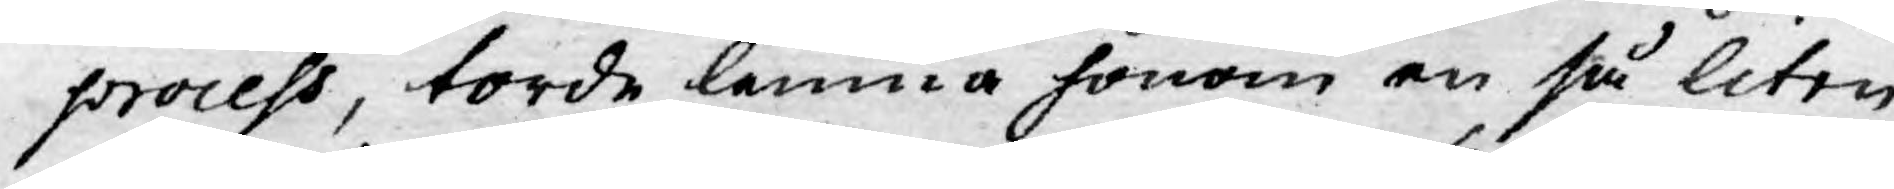process, torde lemna honom en så liten
